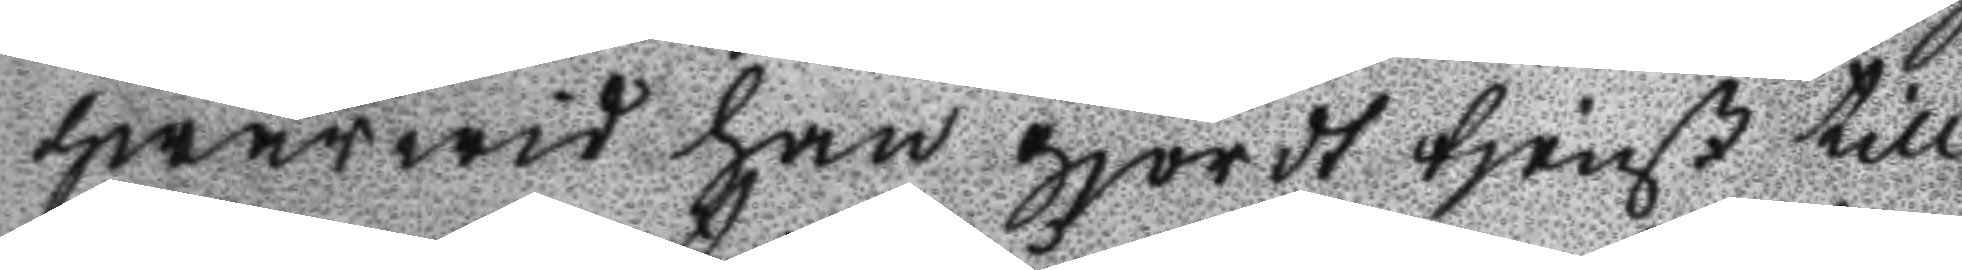hwarwid han gjordt tjenst till
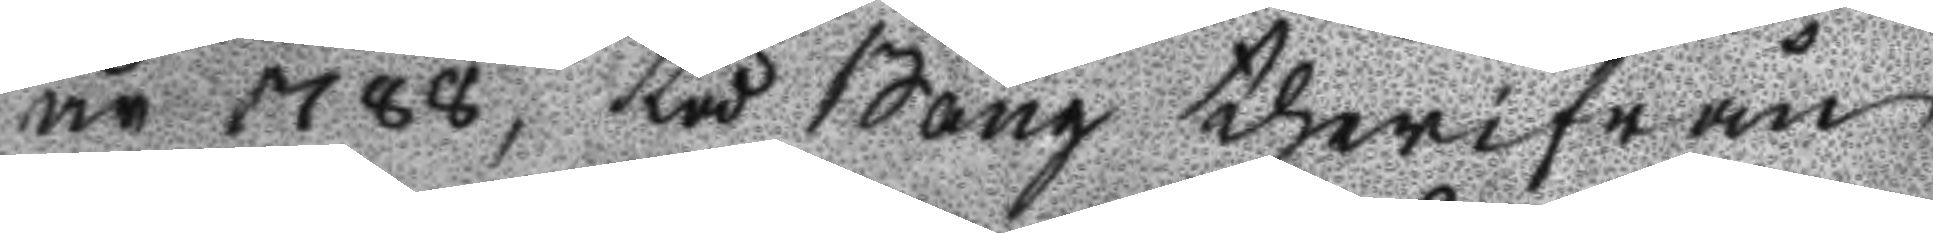år 1788, tå Bång therifrån
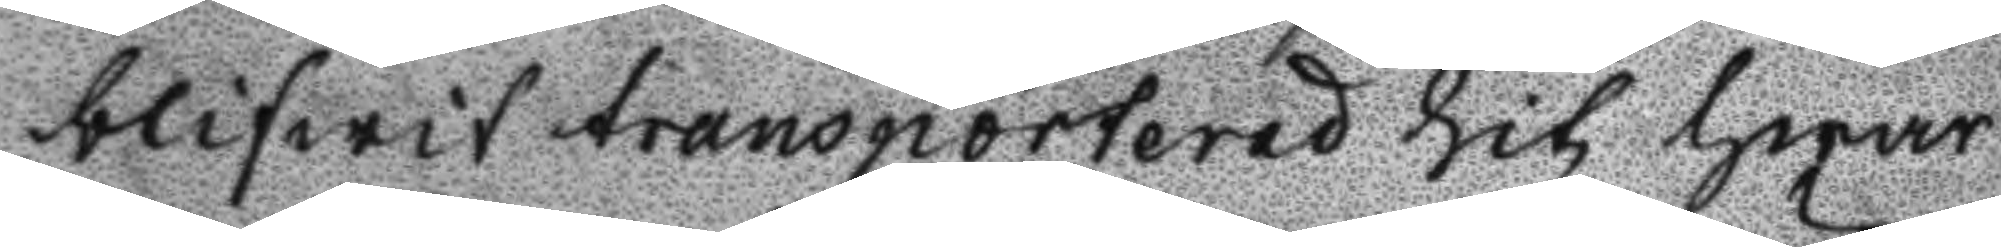blifwit transporterad hit hwar
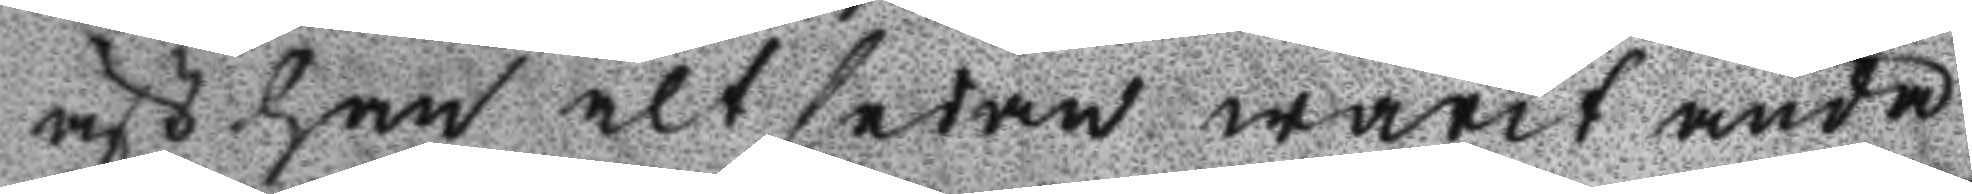äst han alt sedan warit ända
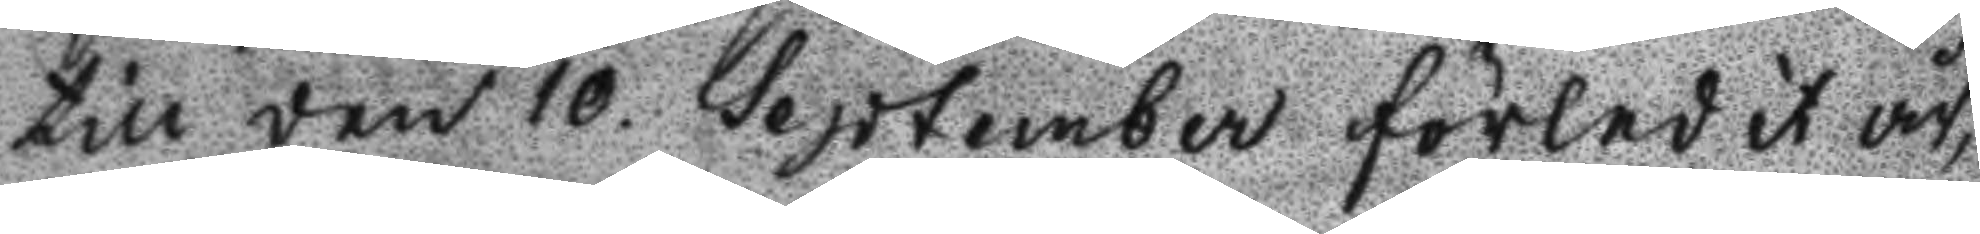till den 10. September förledit år,
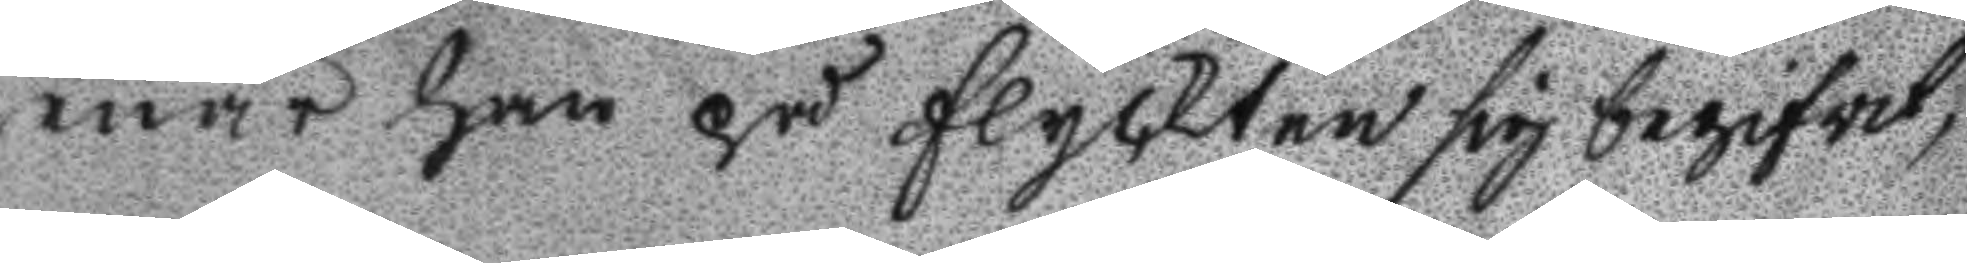när han på flyckten sig begifvit;
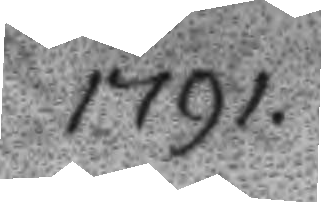1791.
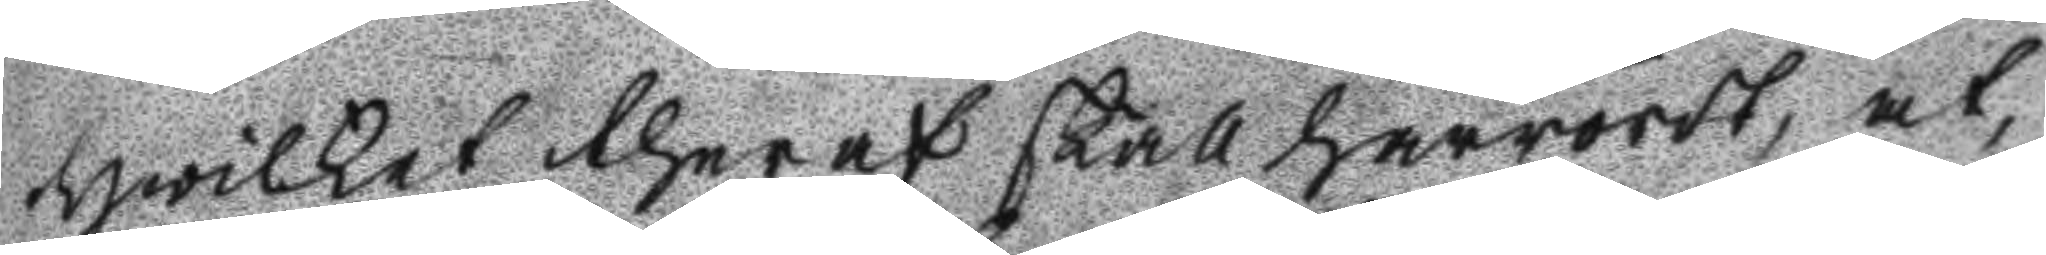hwilket theraf skall härrördt, at
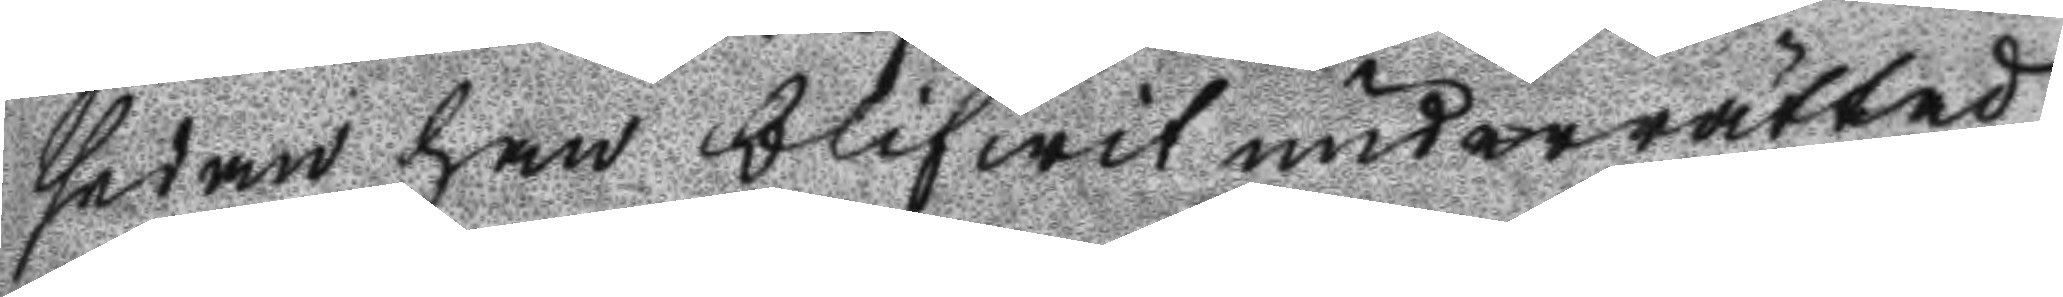sedan han blifwit underrättad
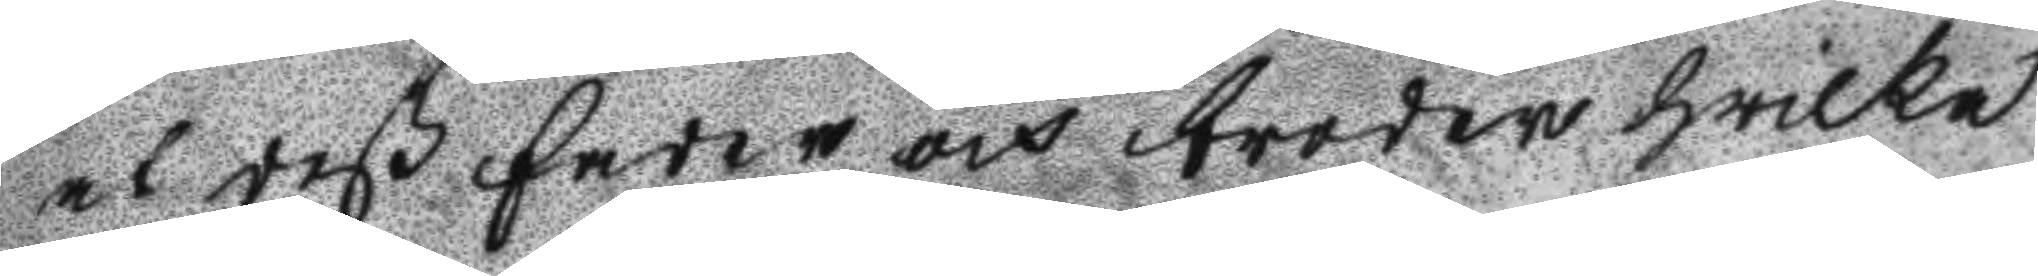at deß fader och broder hwilka
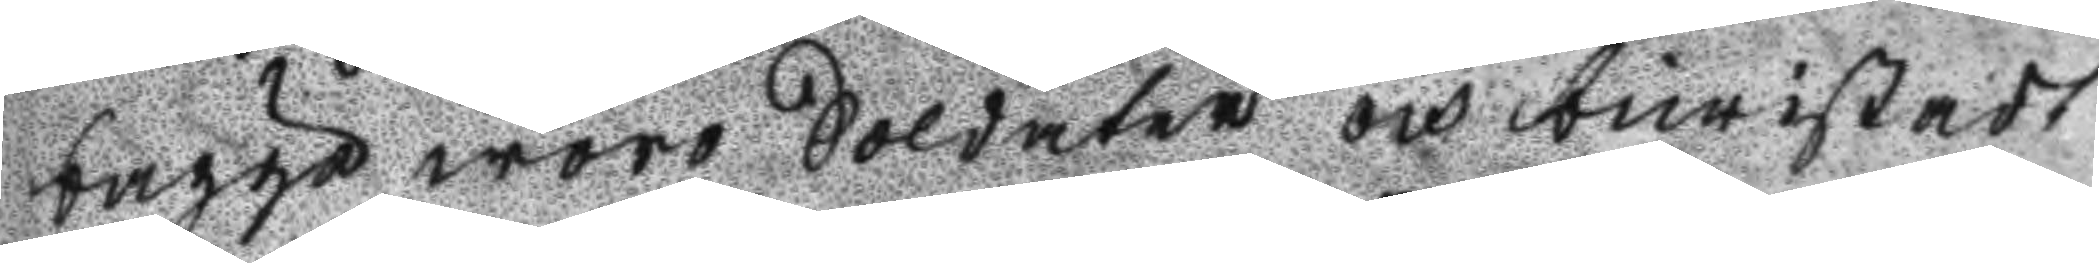bägge wore Soldater och bewistadt 
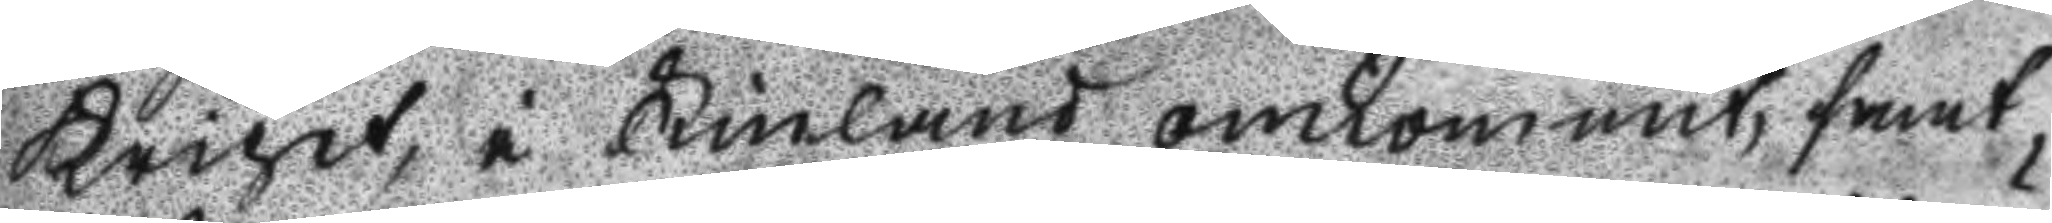Kriget, i Finland omkommit, samt
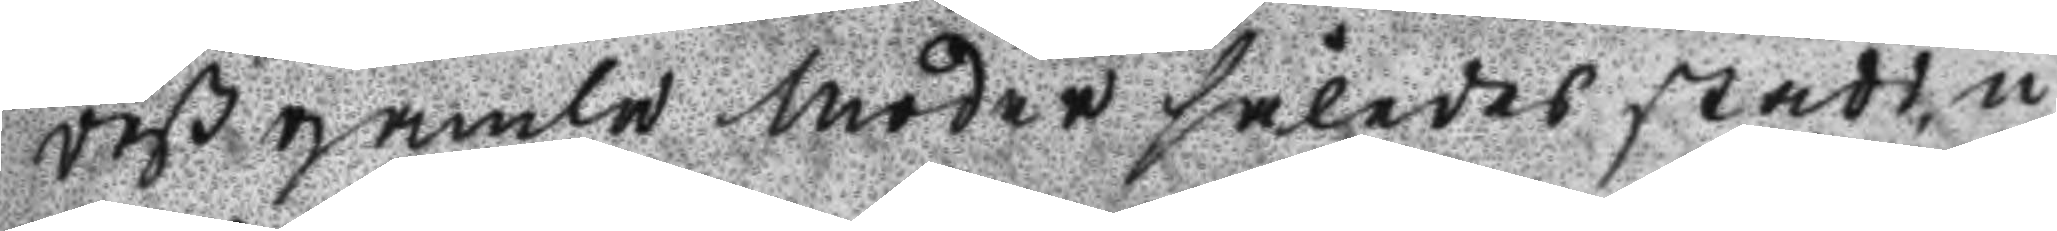deß gamla moder således stadd, u
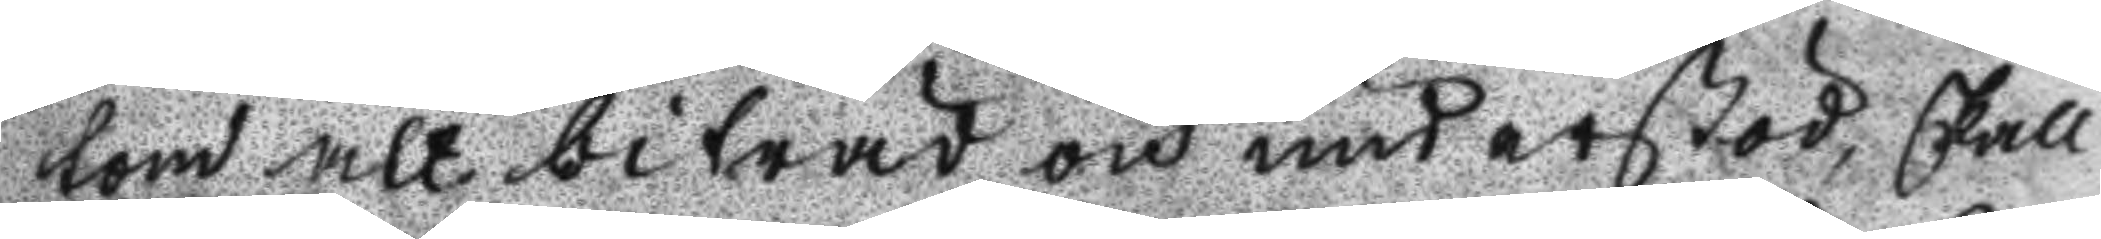tom alt biträd och understöd, skall
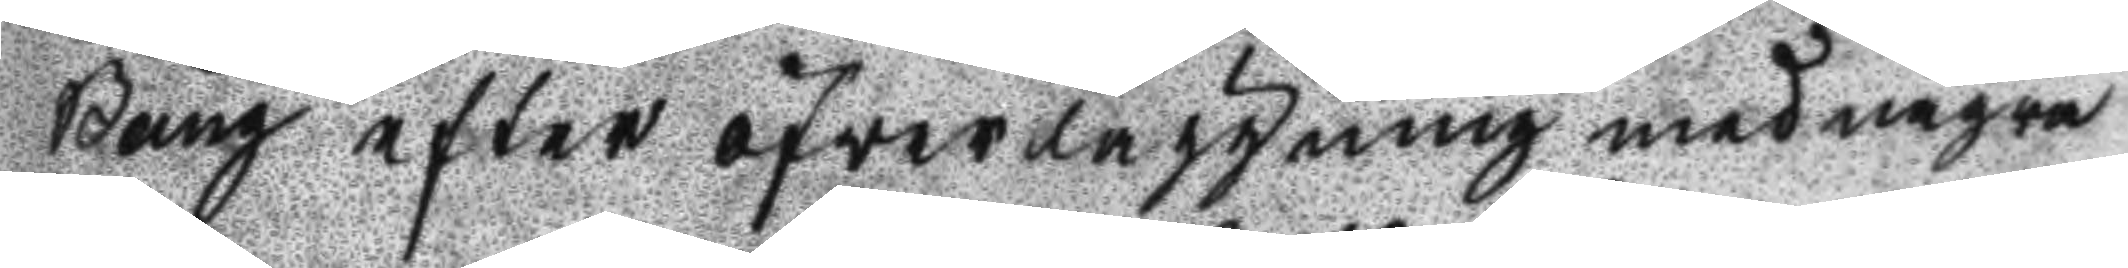Bång efter ögverläggning med några
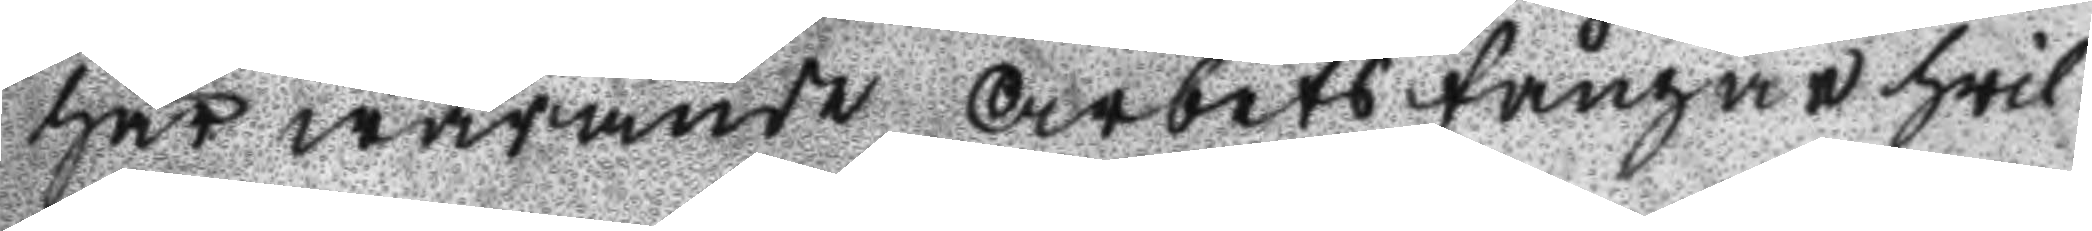här warande Arbetsfångar hvil
